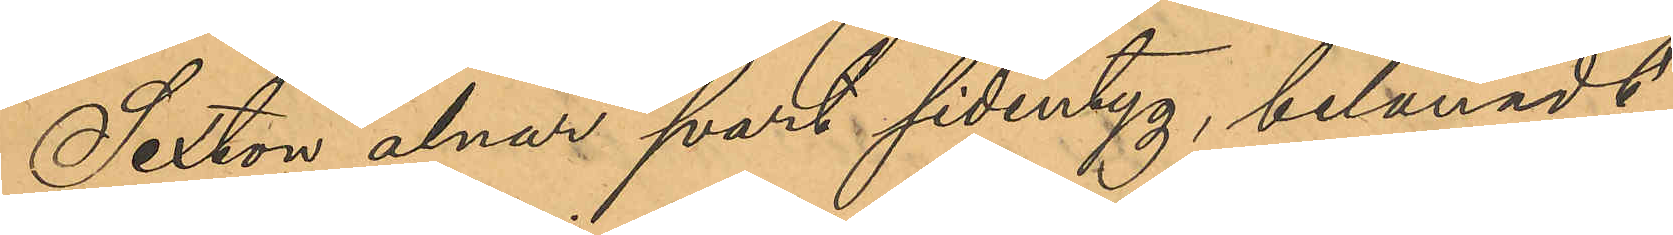Sexton alnar svart sidentyg, belånadt
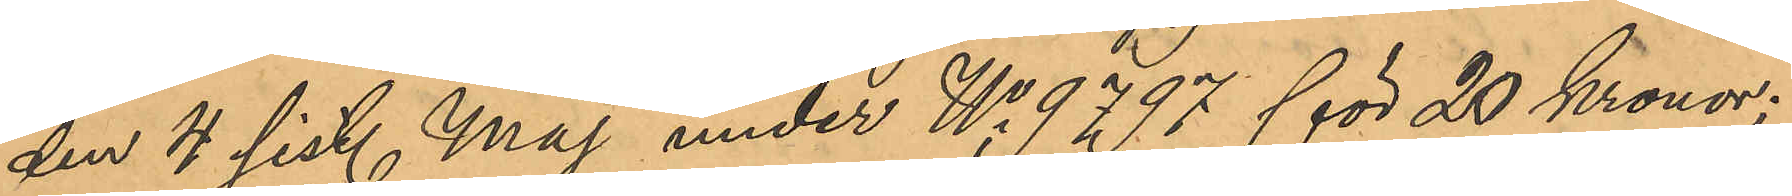den 4 sist. Maj under No 9797 för 20 Kronor;
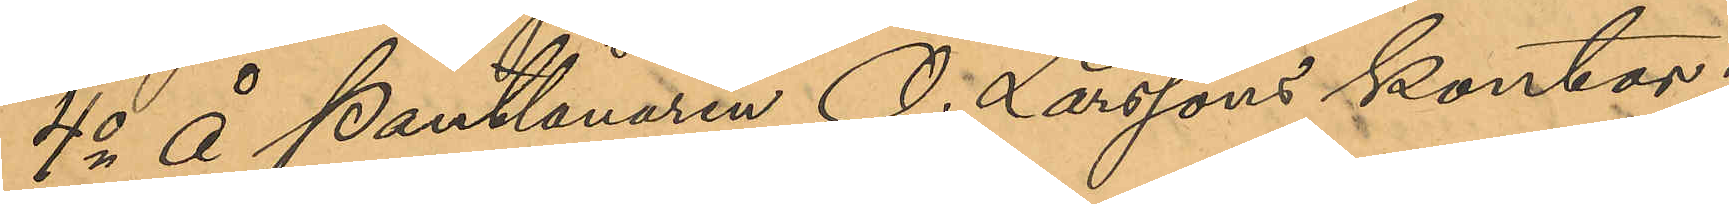4o Å Pantlånaren O. Larssons kontor i
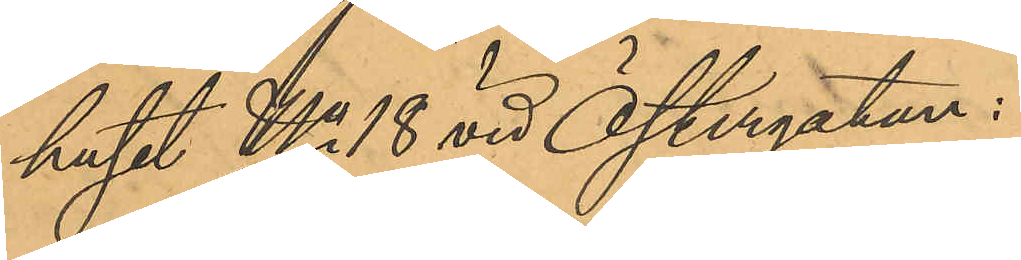huset No 18 vid Östergatan:
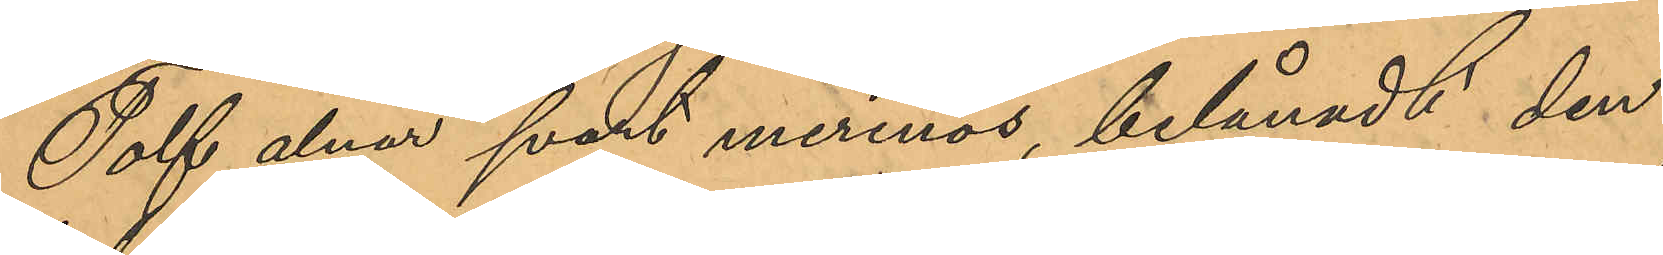Tolf alnar svart merinos, belånadt den
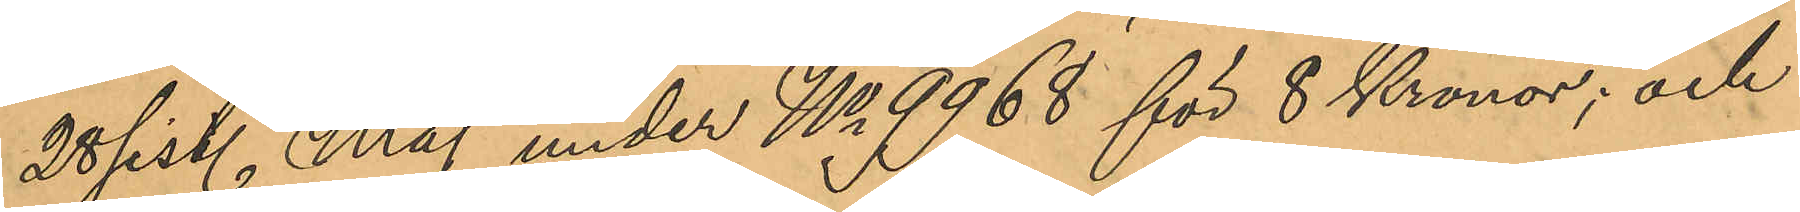28 sist. Maj under No 9968 för 8 Kronor, och
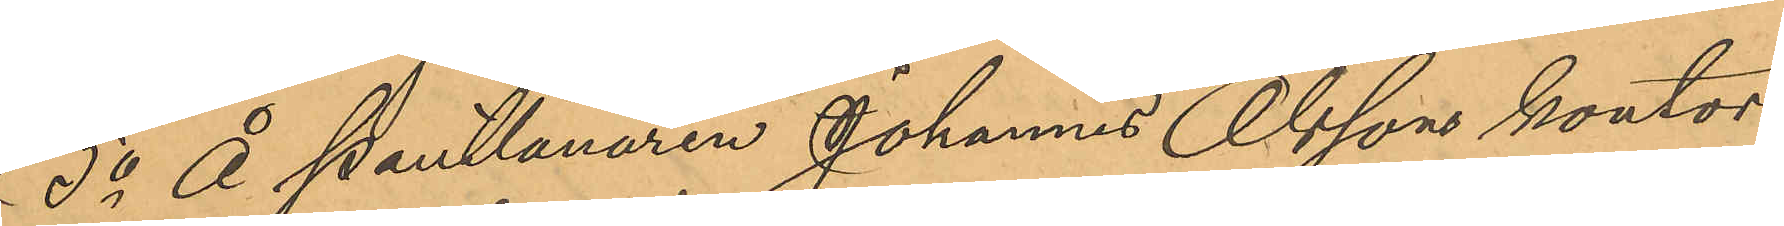5o Å Pantlånaren Johannes Olsson kontor
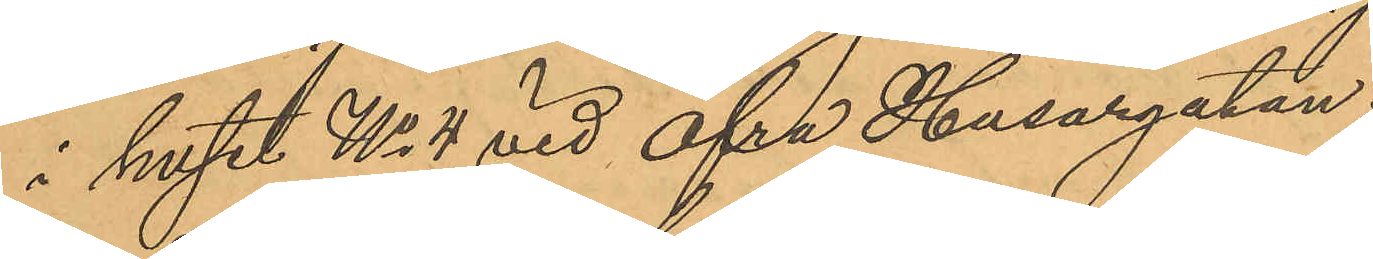i huset No 4 vid Öfra Husargatan:
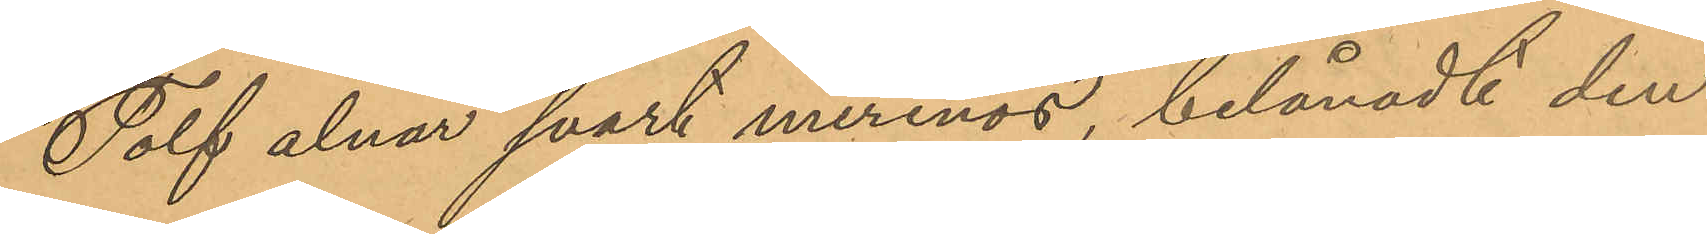Tolf alnar svart merinos, belånadt den
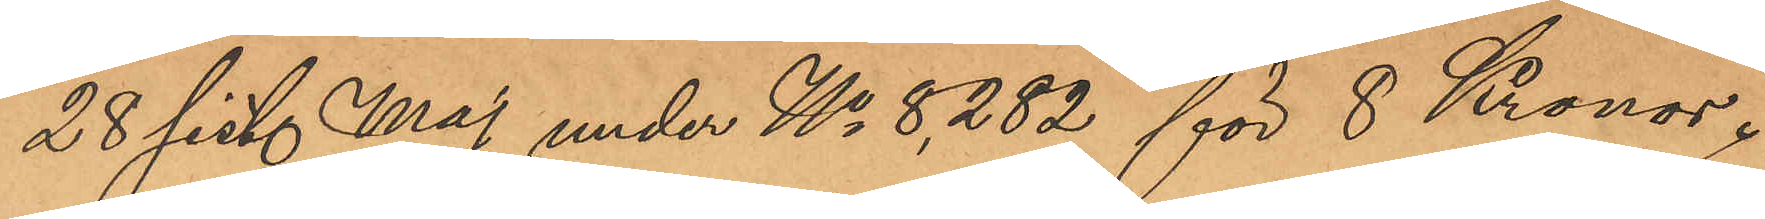28 sist. Maj under No 8,282 för 8 Kronor.
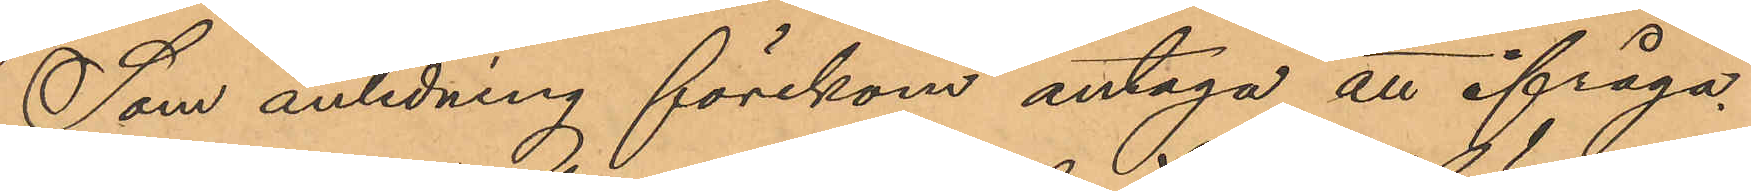Som anledning förekom antaga, att ifråga¬
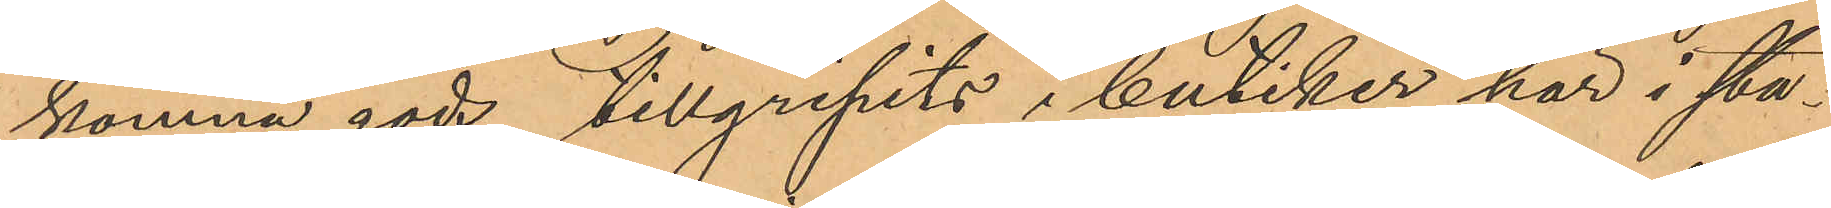komna gods tillgripits i butiker här i sta¬
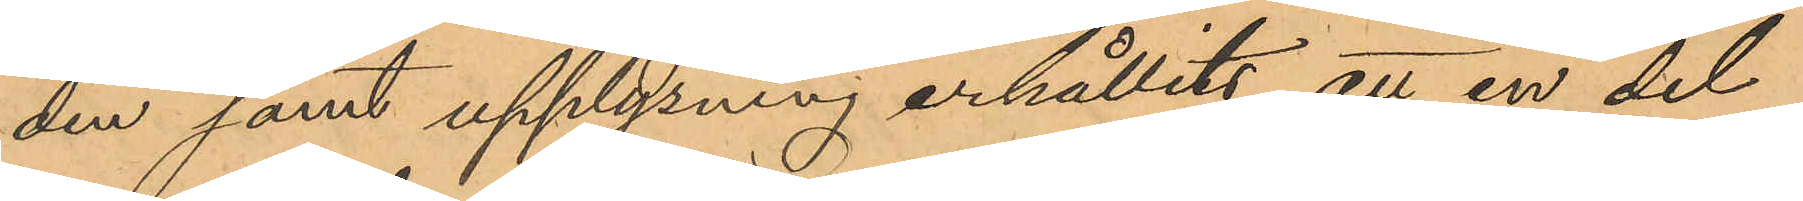den samt upplysning erhållits att en del
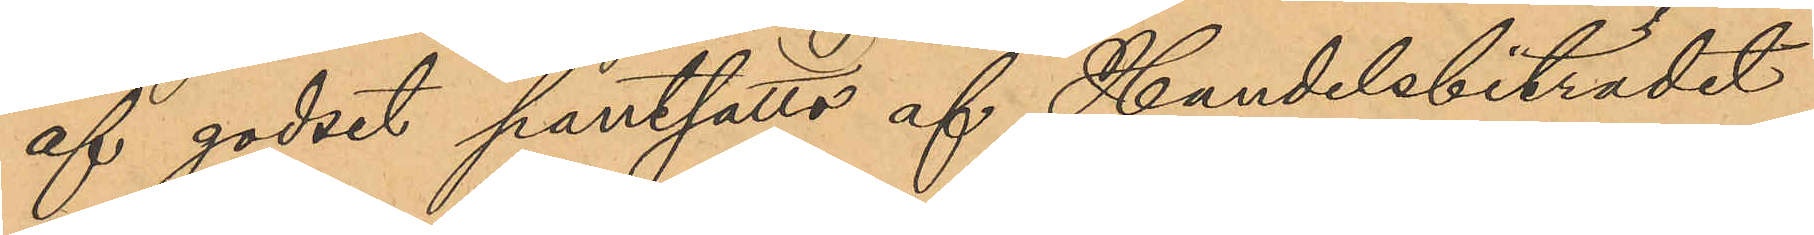af godset pantsatts af Handelsbiträdet
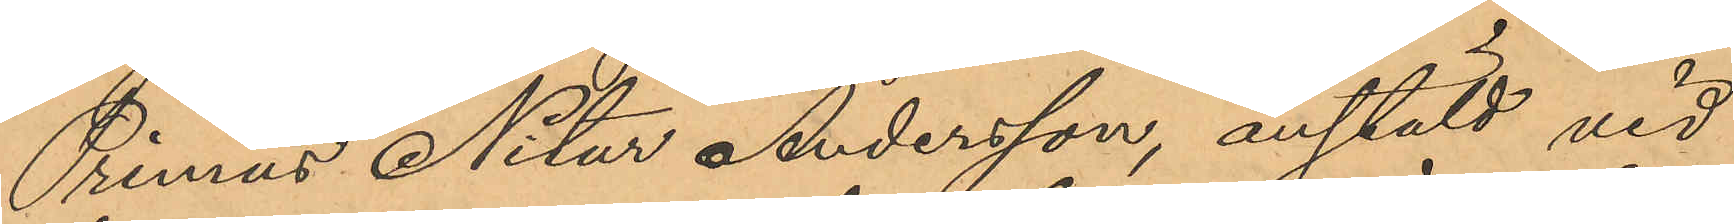Primus Nitur Andersson, anstäld vid
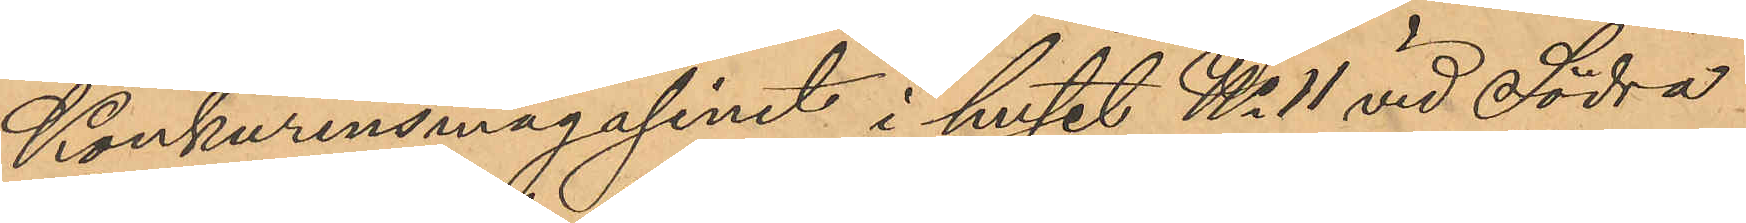Konkurensmagasinet i huset No 11 vid Södra
